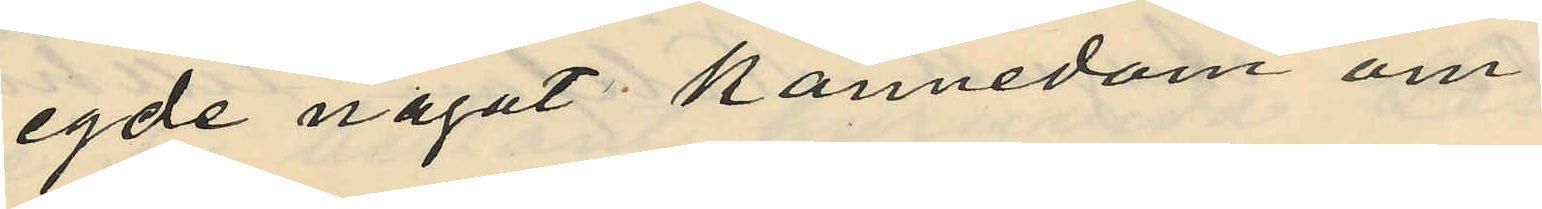egde något kännedom om
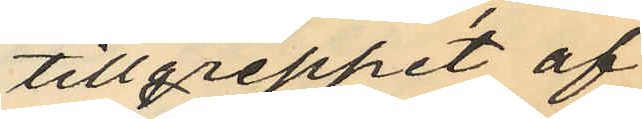tillgreppet af
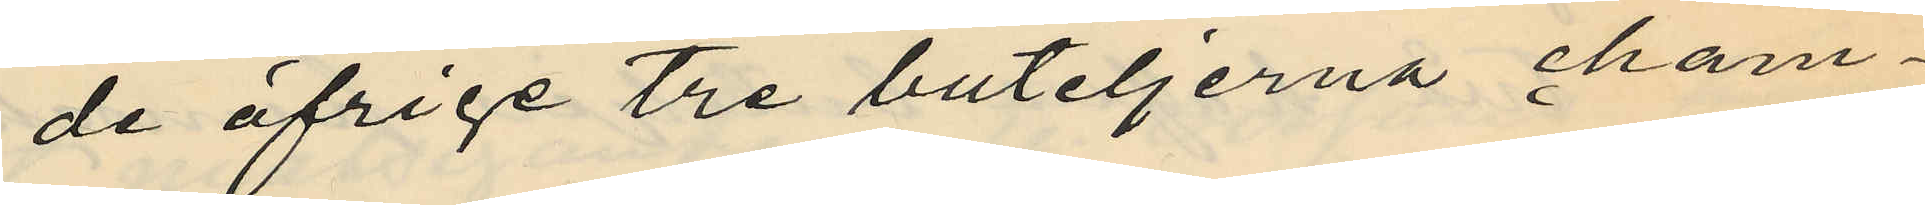de öfrige tre buteljerna cham¬
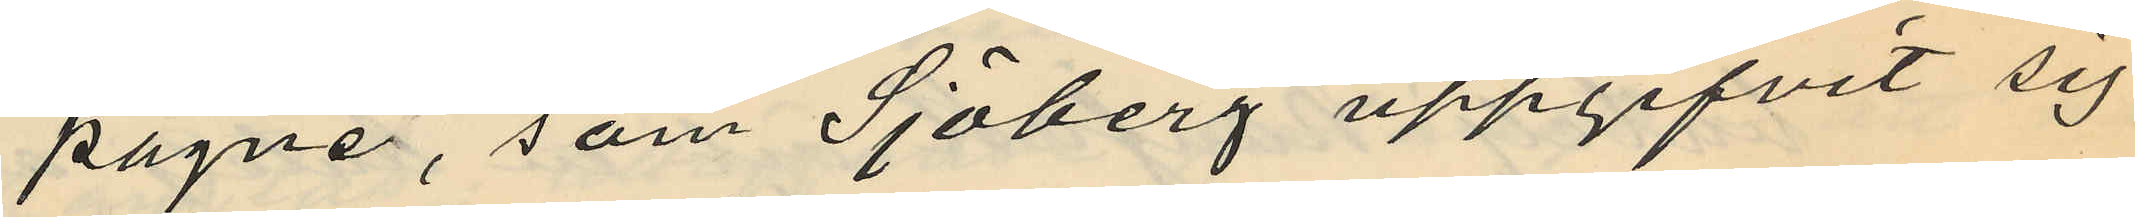pagne, som Sjöberg uppgifvit sig
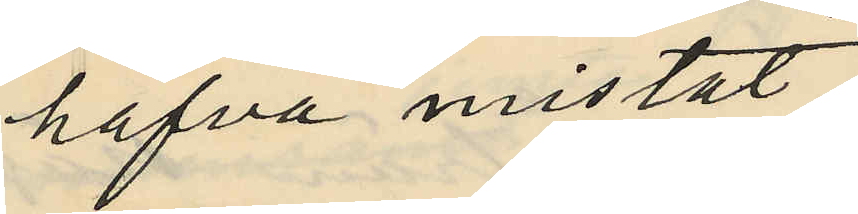hafva mistat;
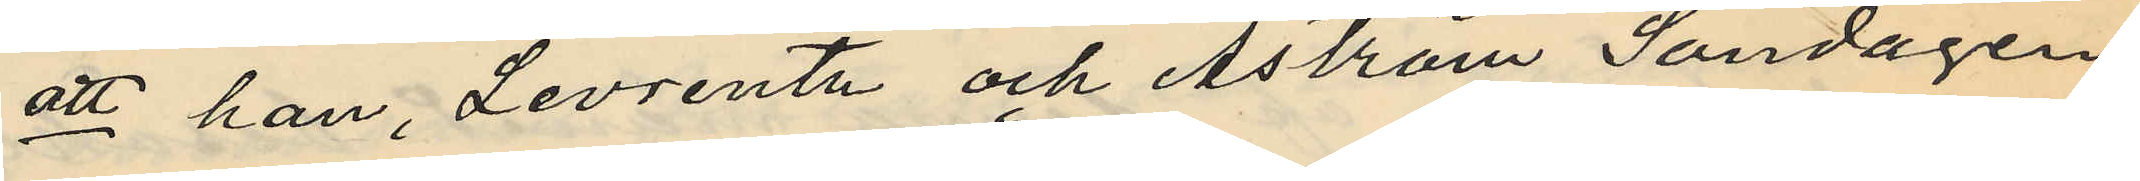att han, Levrentz och Åström Söndagen
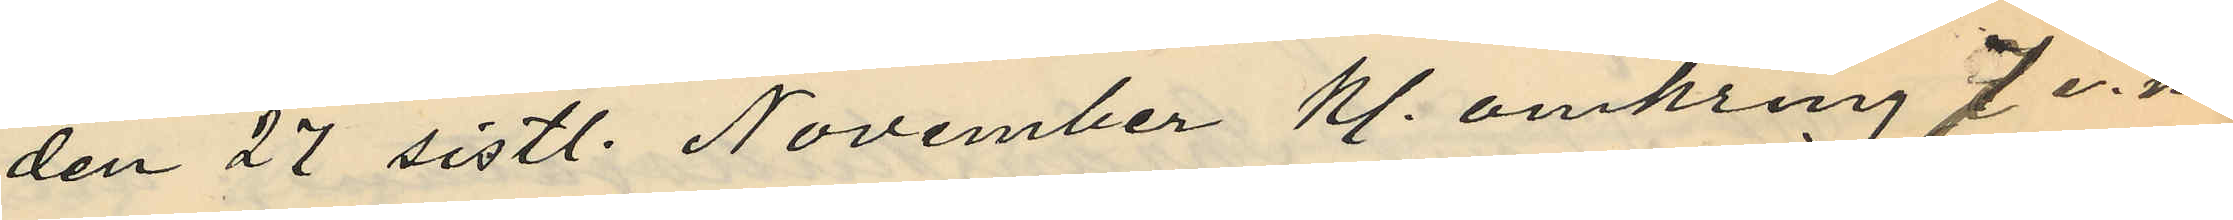den 27 sistl. November Kl. omkring 7 e.m.
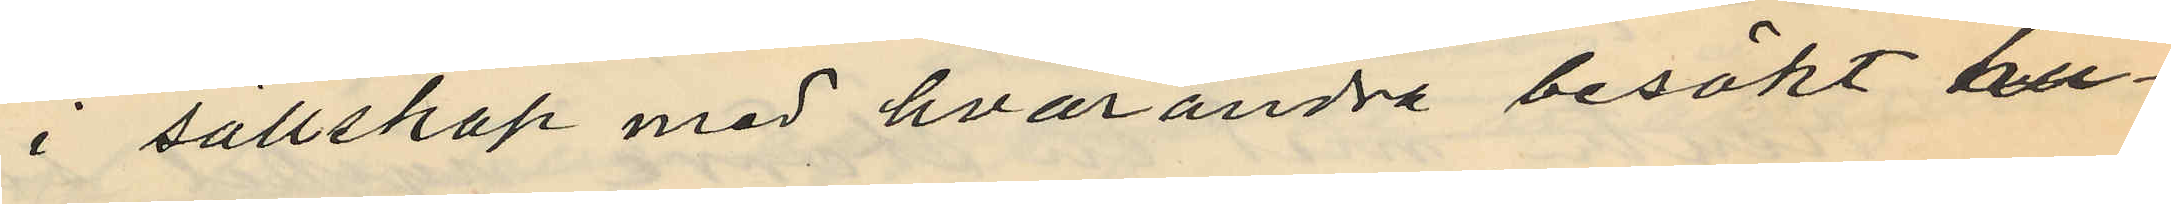i sällskap med hvarandra besökt hu¬
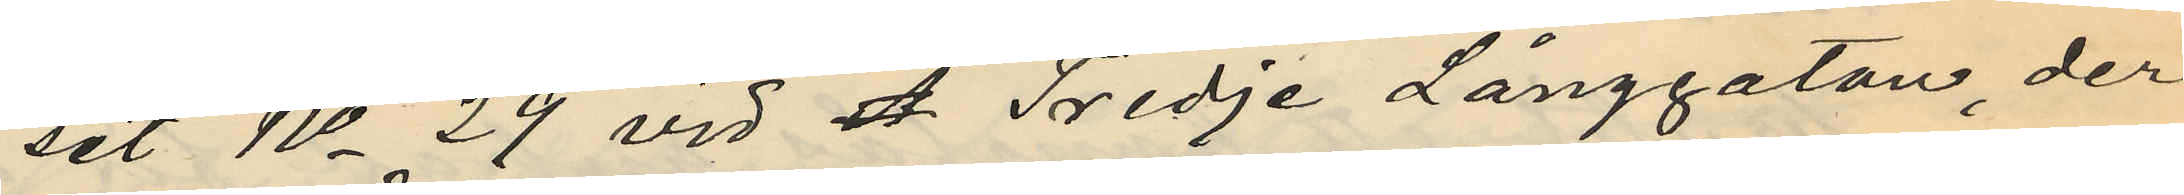set No 29 vid A. Tredje Långgatan, der
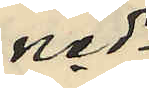ned¬
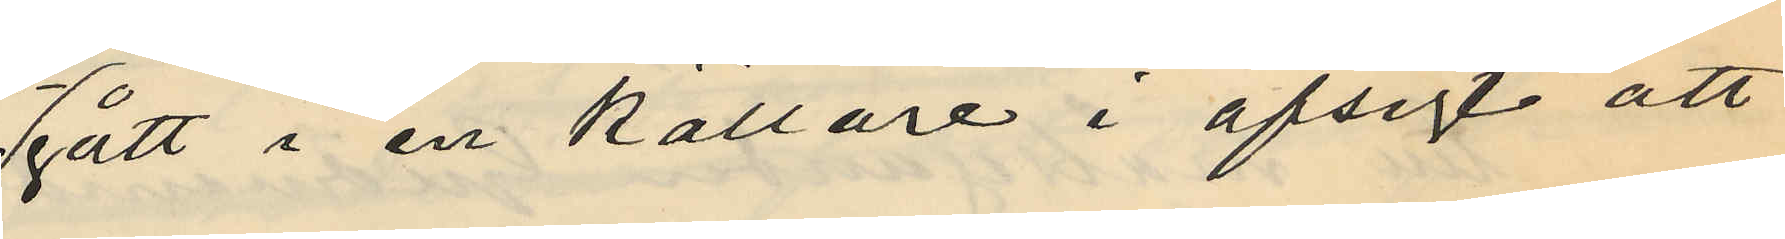gått i en källare i afsigt att
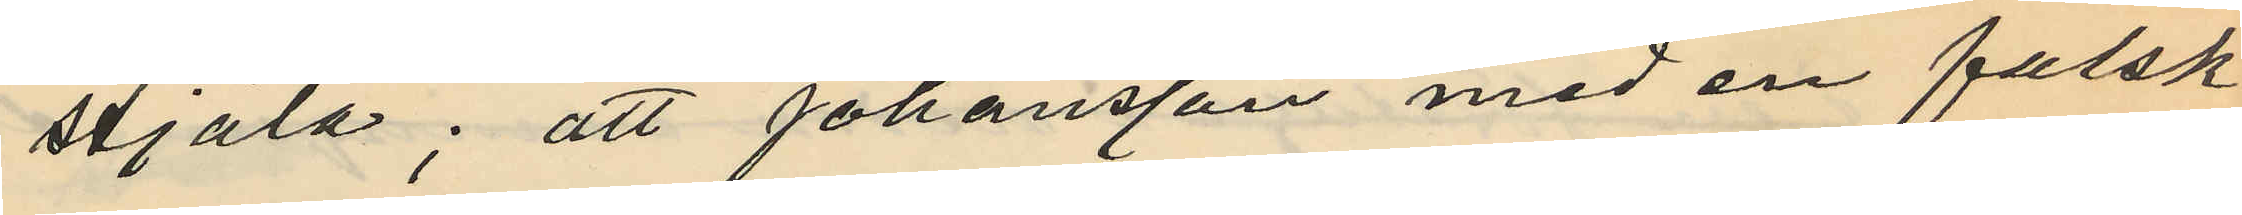stjäla; att Johansson med en falsk
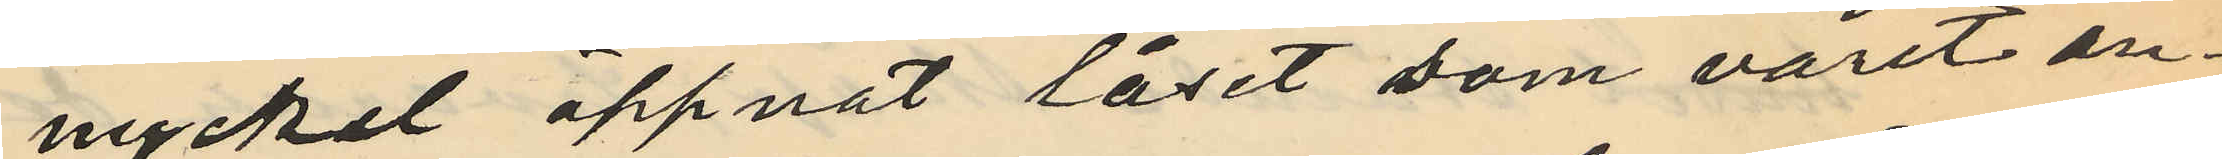nyckel öppnat låset som varit an¬
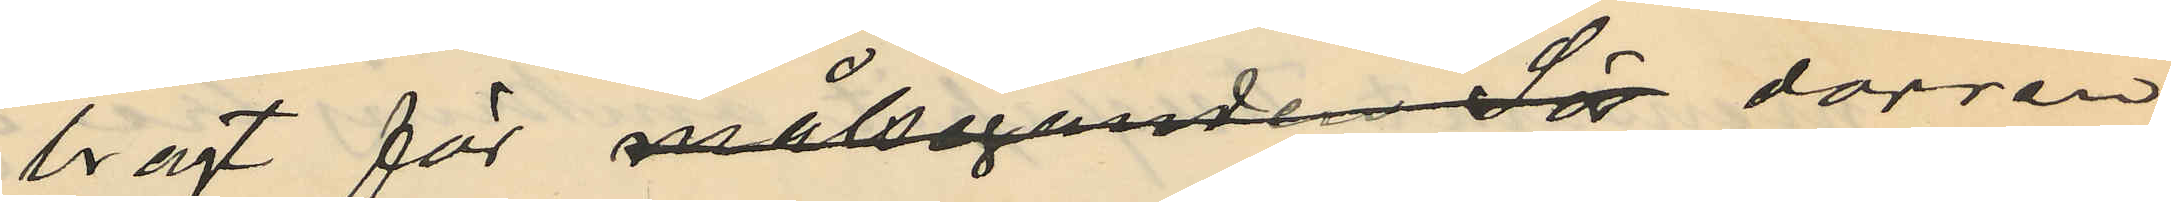bragt för målsegande Sö dörren
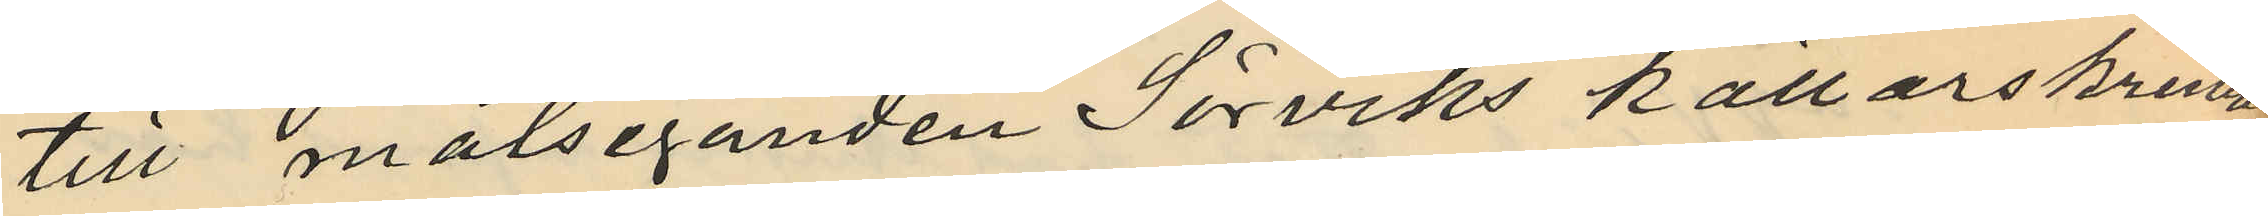till målseganden Sörviks källarskrubb
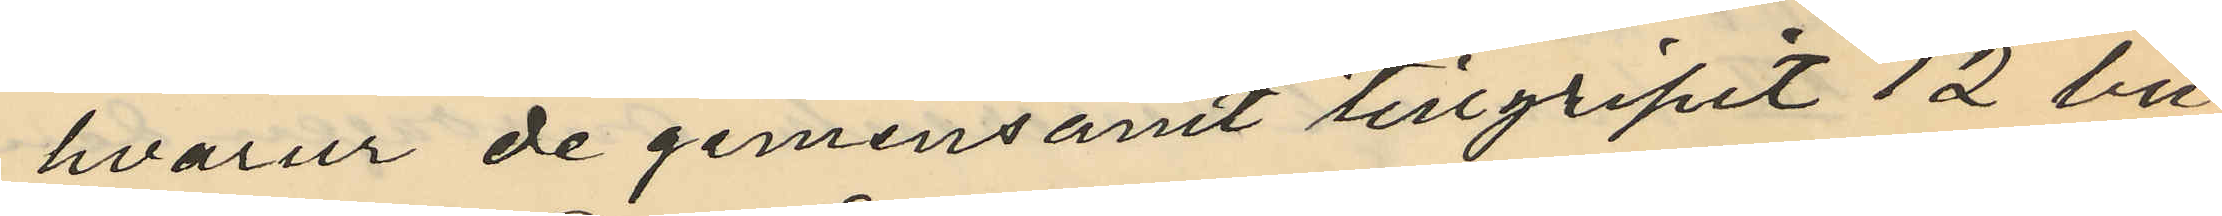hvarur de gemensamt tillgripit 12 bu¬
